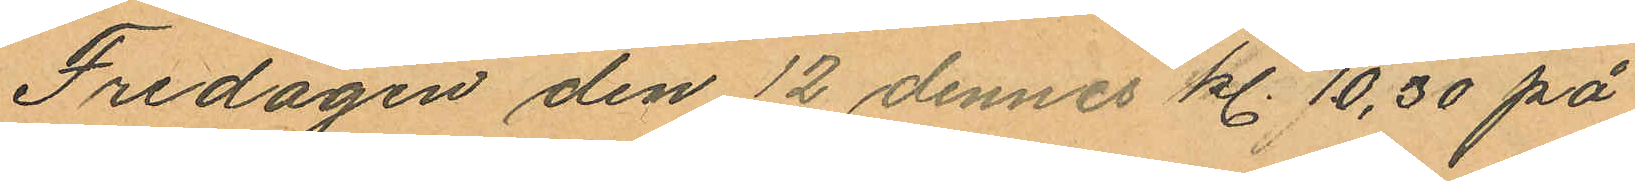Fredagen den 12 dennes kl. 10,30 på
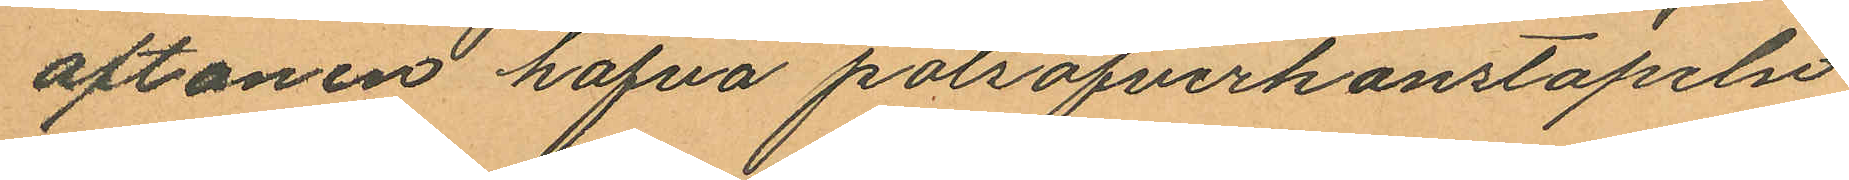aftonen hafva polisöfverkonstapeln
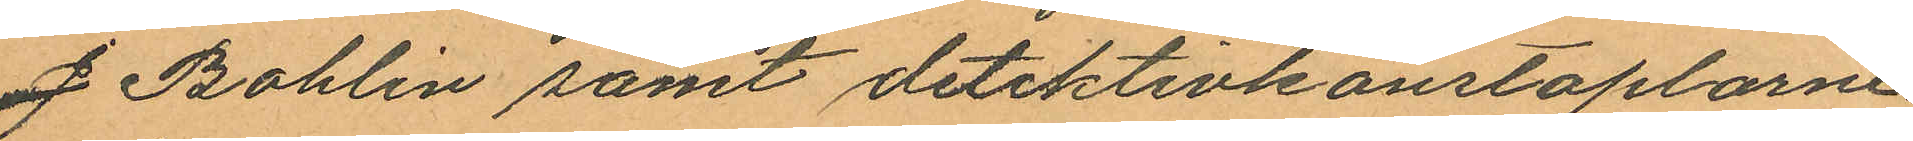J Bohlin samt detektivkonstaplarne
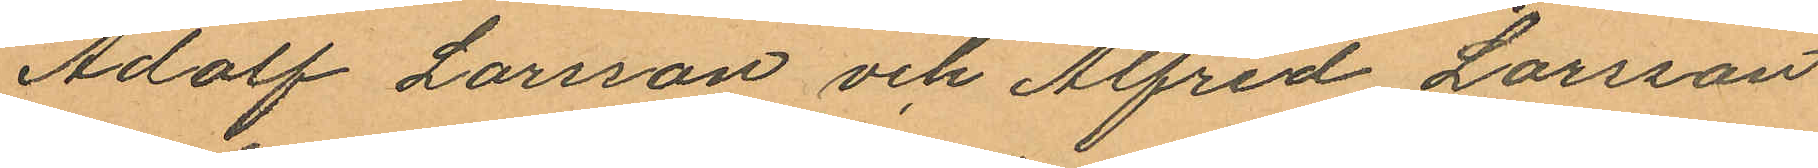Adolf Larsson och Alfred Larsson
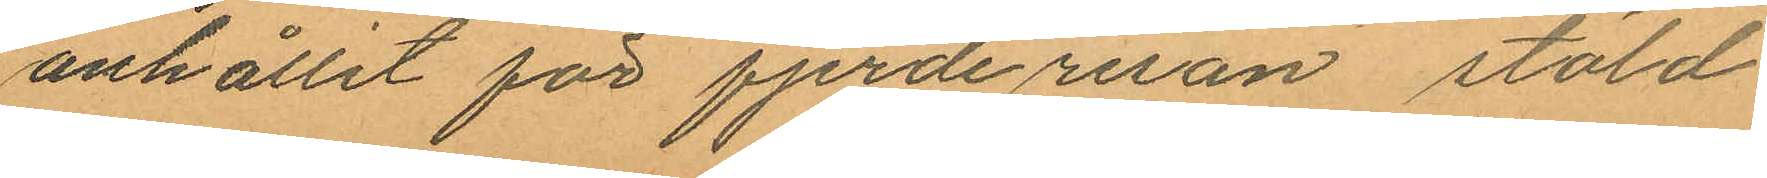anhållit för fjerde resan stöld
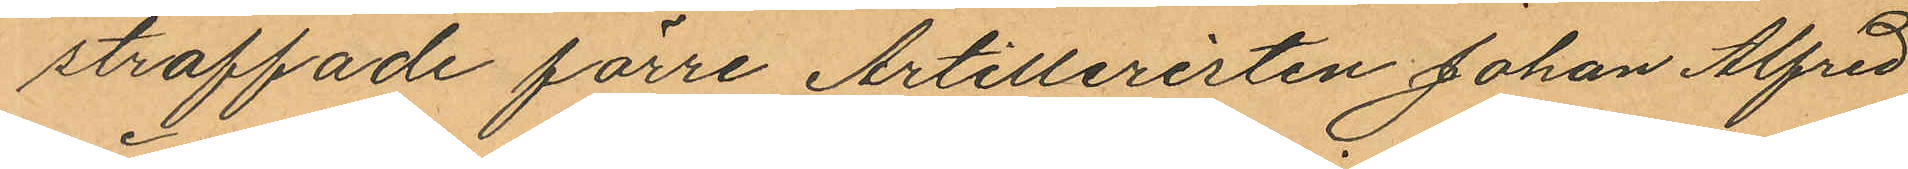straffade förre Artilleristen Johan Alfred
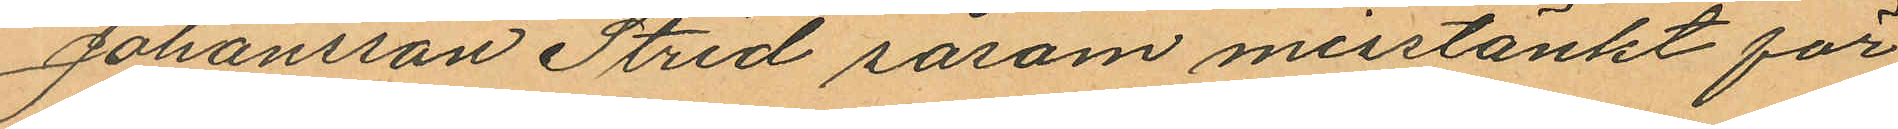Johansson Strid såsom misstänkt för
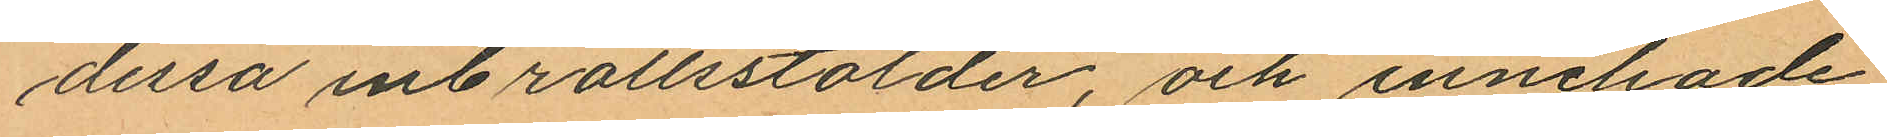dessa inbrottsstölder, och innehade
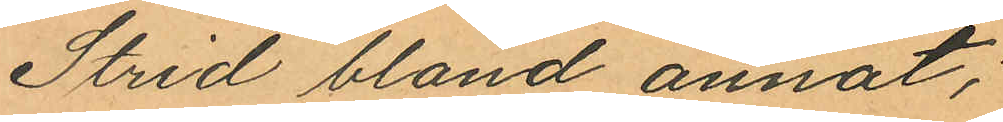Strid bland annat;
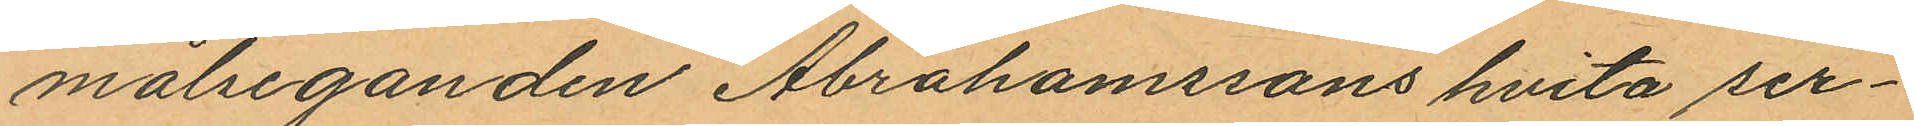målseganden Abrahamssons hvita ser¬
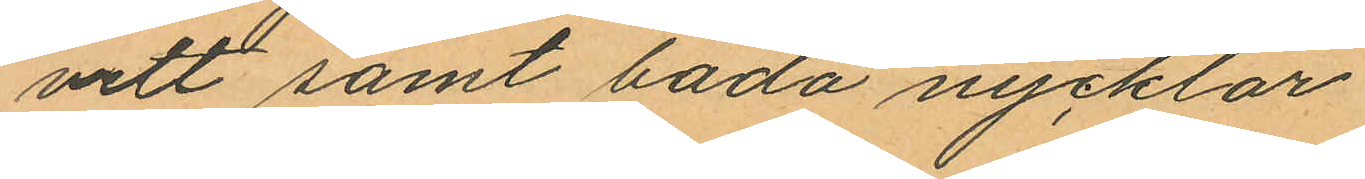vett samt båda nycklar
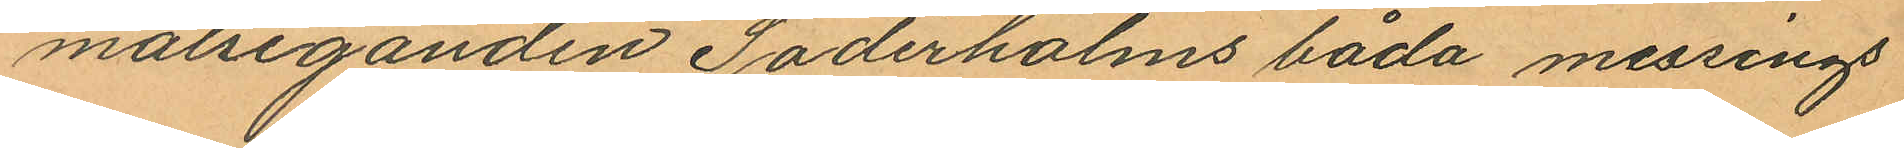målseganden Söderholms båda messings
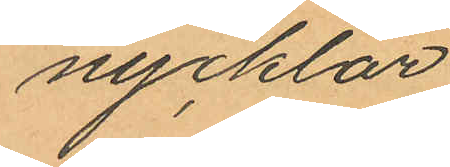nycklar
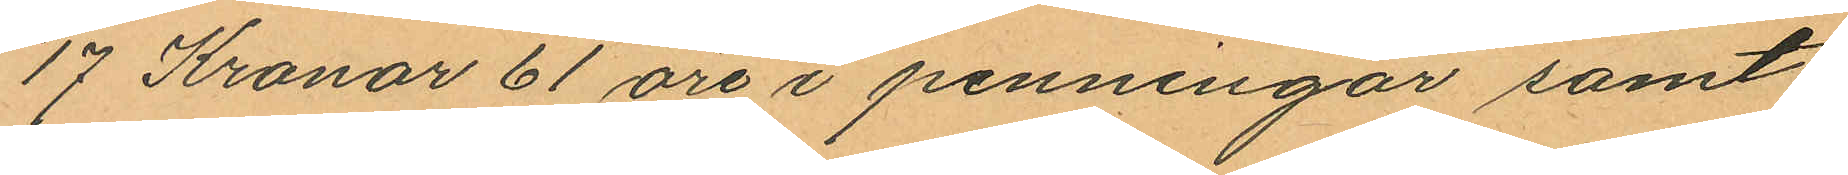17 Kronor 61 öre i penningar samt
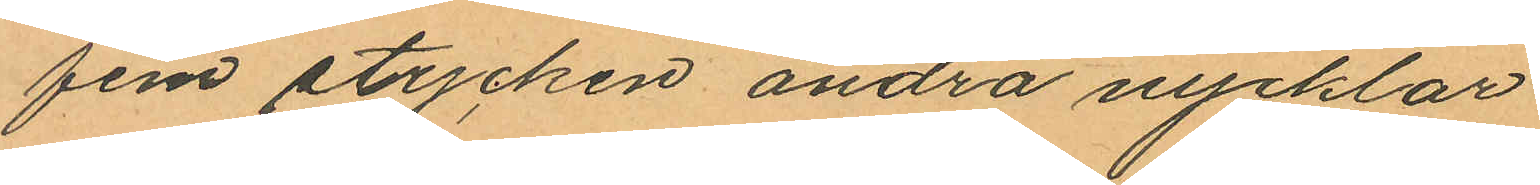fem stycken andra nycklar
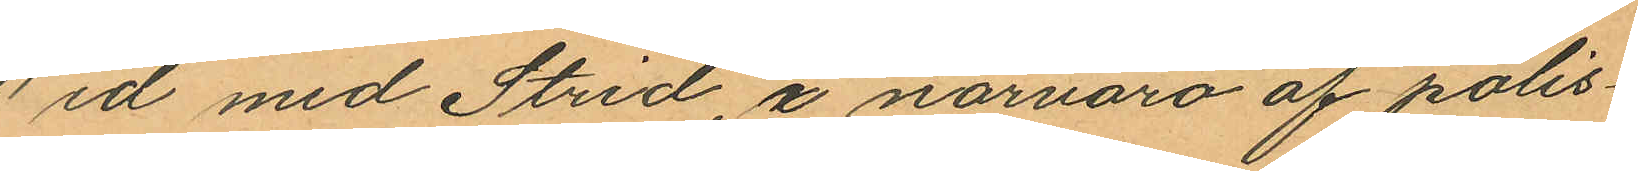Wid med Strid i närvaro af polis¬
